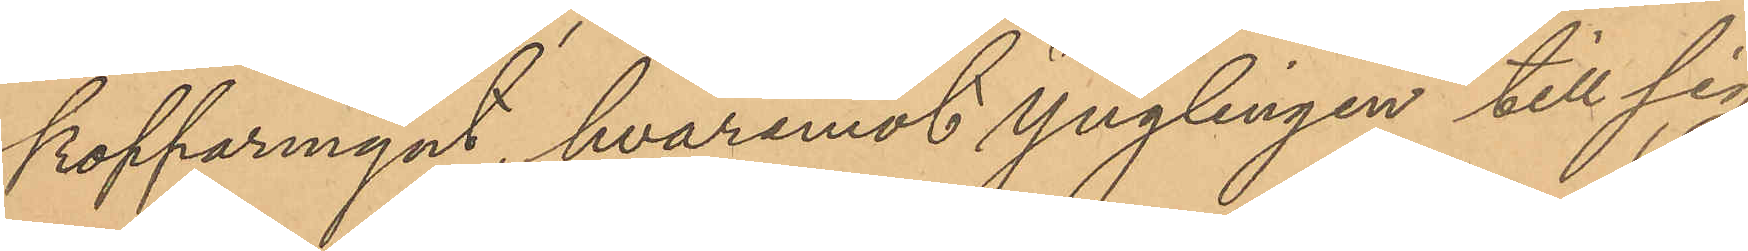kopparmynt, hvaremot ynglingen till sig
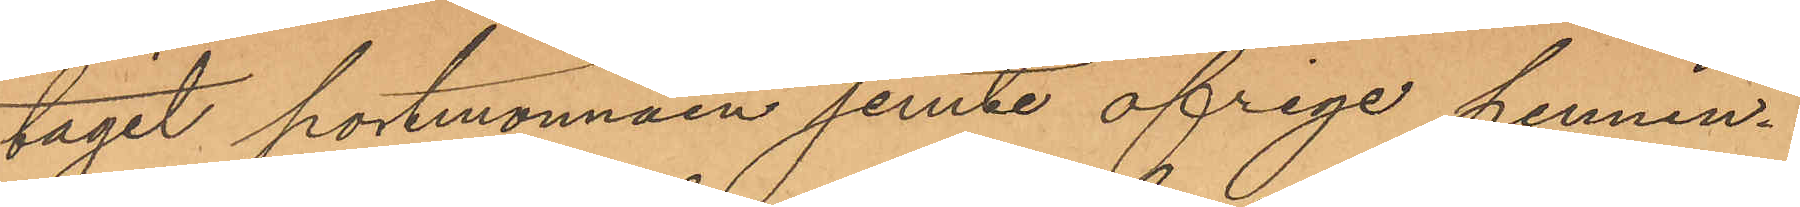tagit portmonnäen jemte öfriga pennin¬
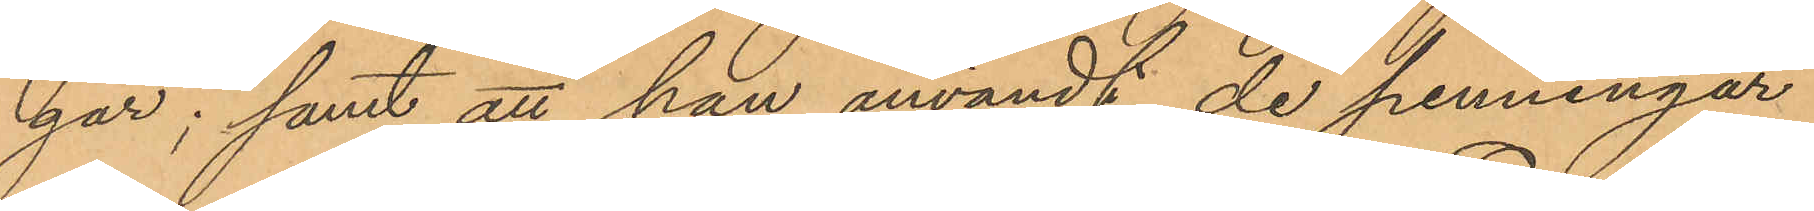gar; samt att han användt de penningar
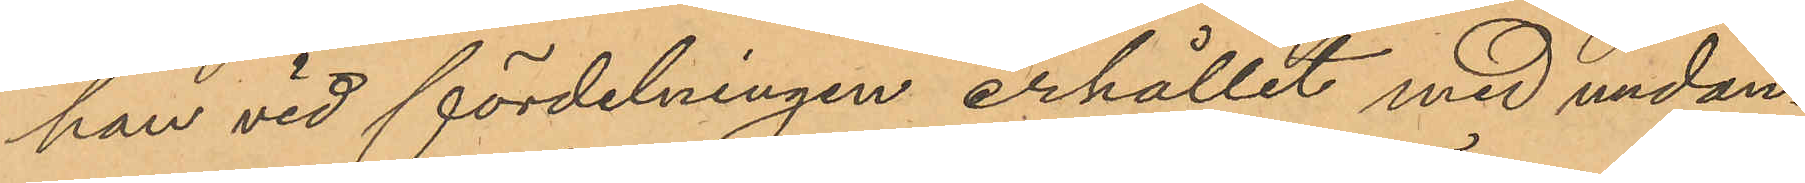han vid fördelningen erhållit med undan¬
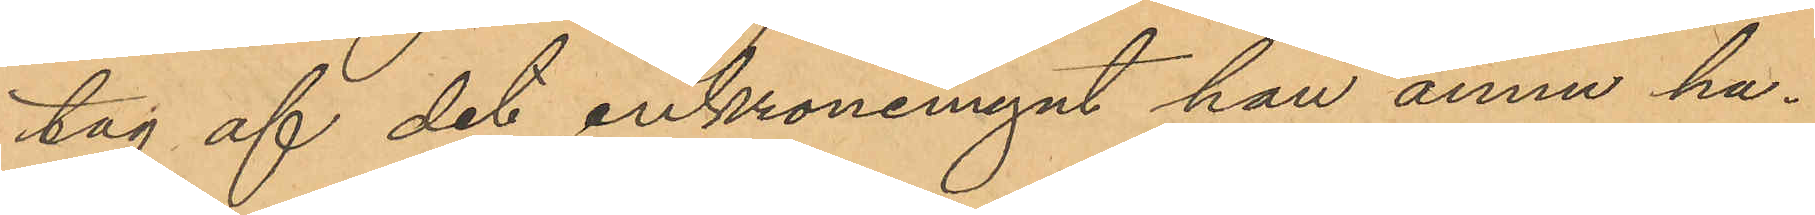tag af det enkronemynt han ännu ha¬
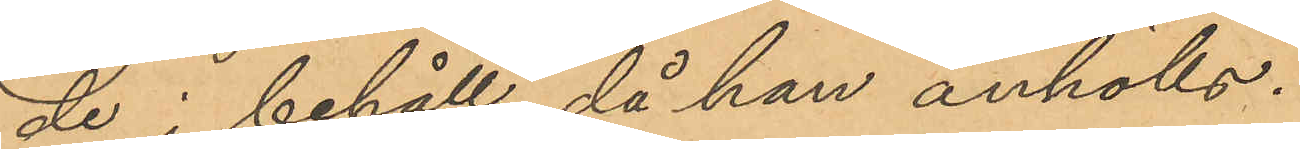de i behåll, då han anhölls.
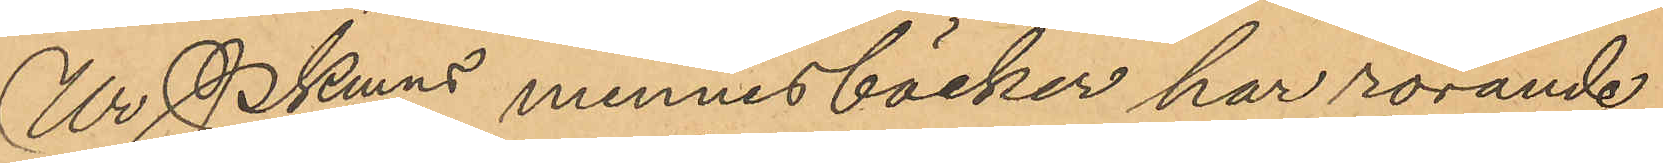Ur Pkmns minnesböcker har rörande
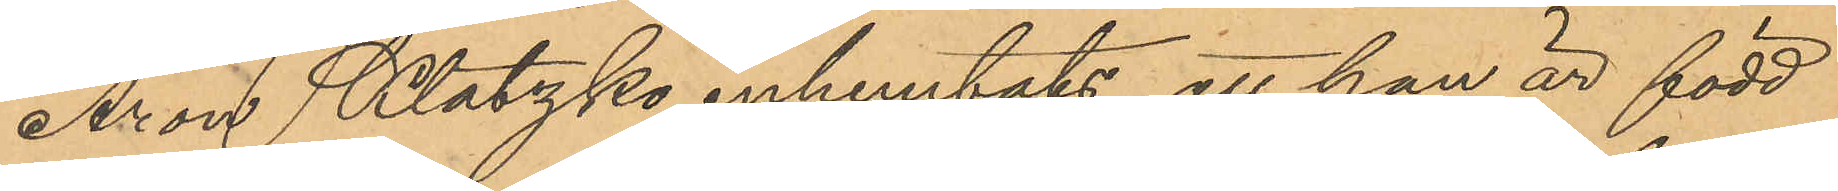Aron Klatzko inhemtats, att han är född
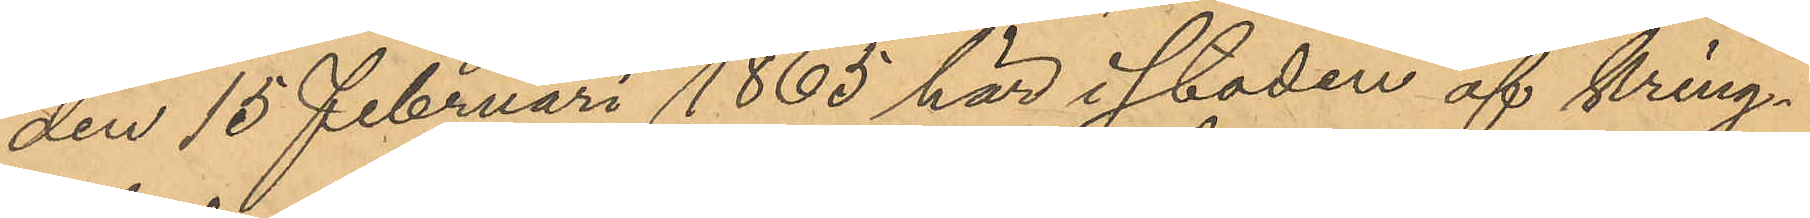den 15 Februari 1865 här i staden af kring¬
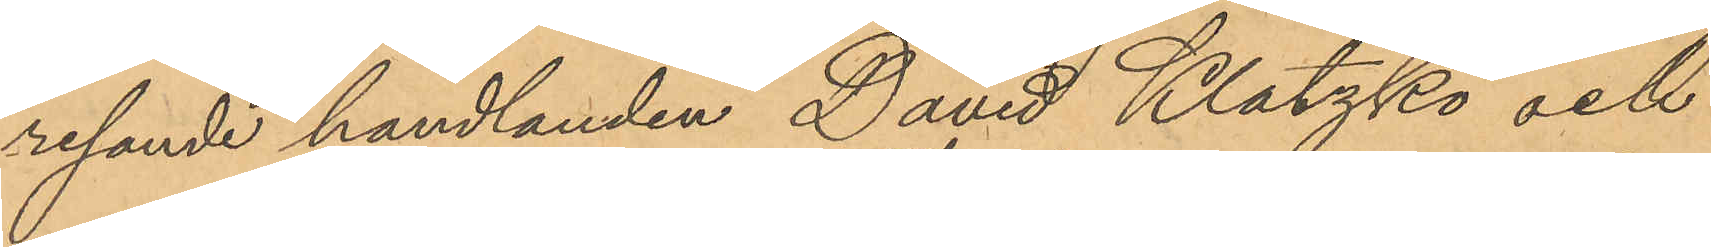resande handlanden David Klatzko och
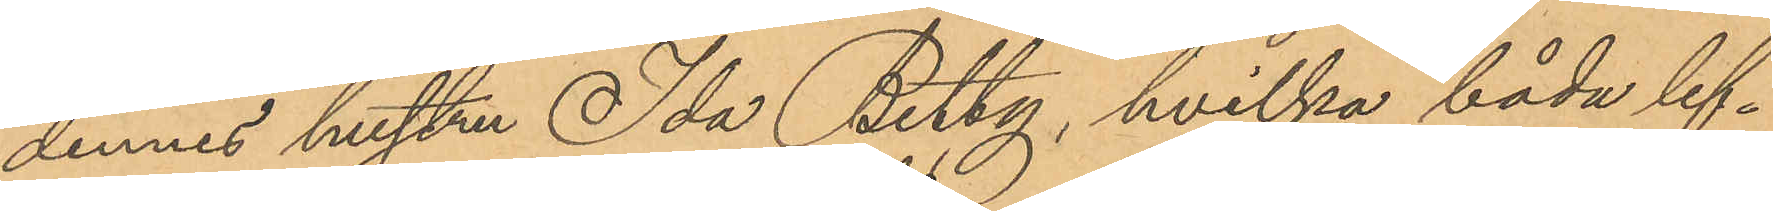dennes hustru Ida Betty, hvilka båda lef¬
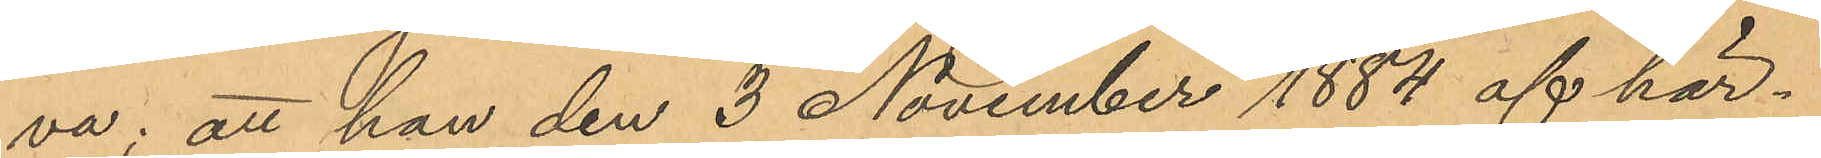va; att han den 3 November 1884 af här¬
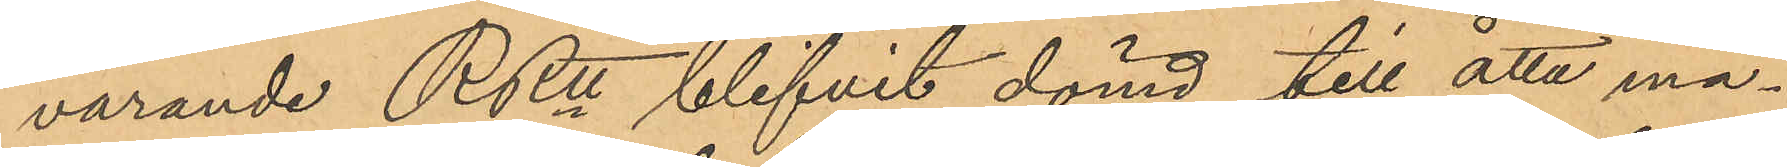varande RRtt blifvit dömd till åtta må¬
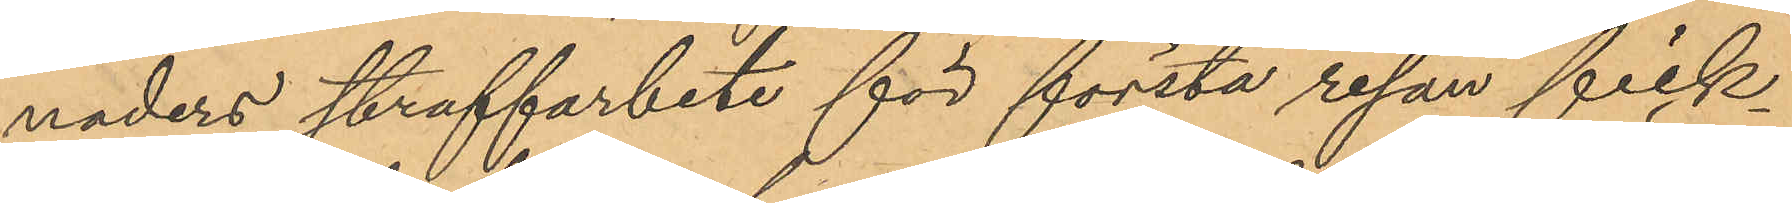naders straffarbete för första resan fick¬
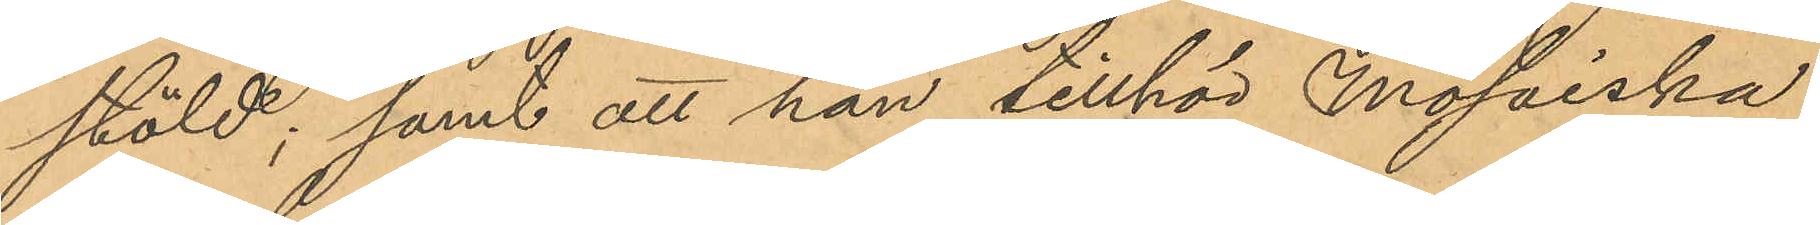stöld; samt att han tillhör Mosaiska
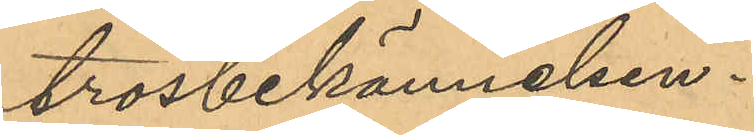trosbekännelsen.
